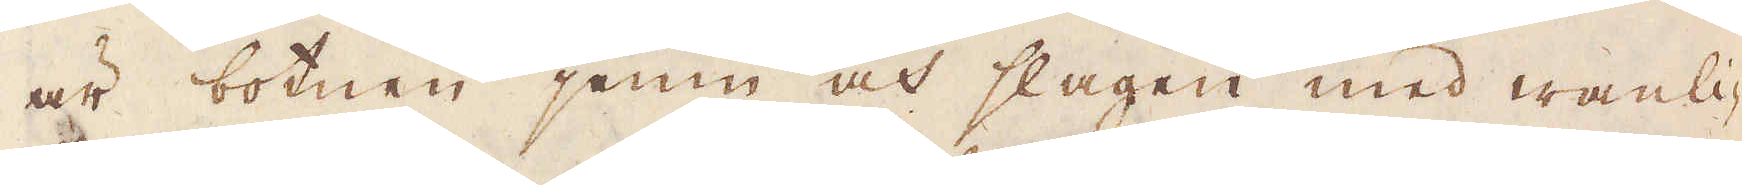är botnen jemn och slagen med wanli-
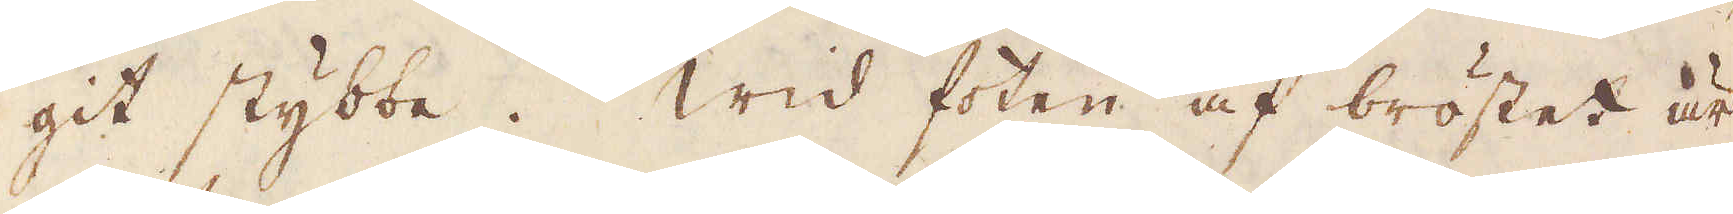git stybbe. Wid foten af bröstet är
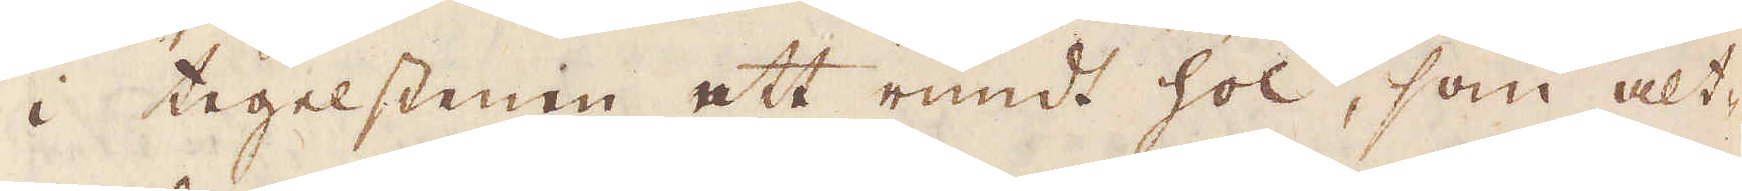i tegelstenen ett rundt hol, som alt-
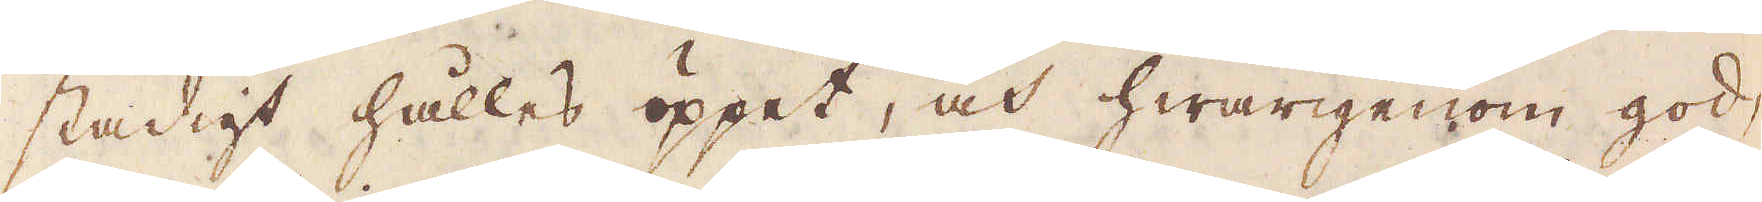stadigt hålles öppet, och hwarigenom god-
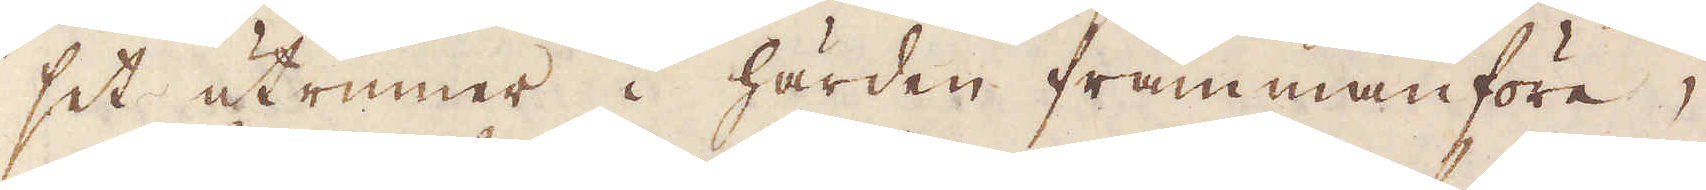set utrinner i härden frammanföre,
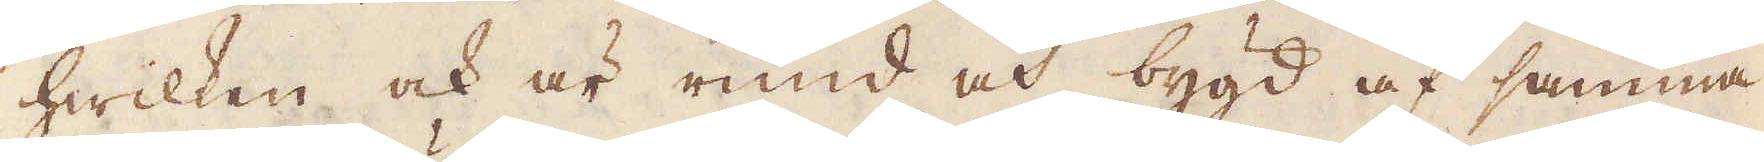hwilken och är rund och bygd af samma
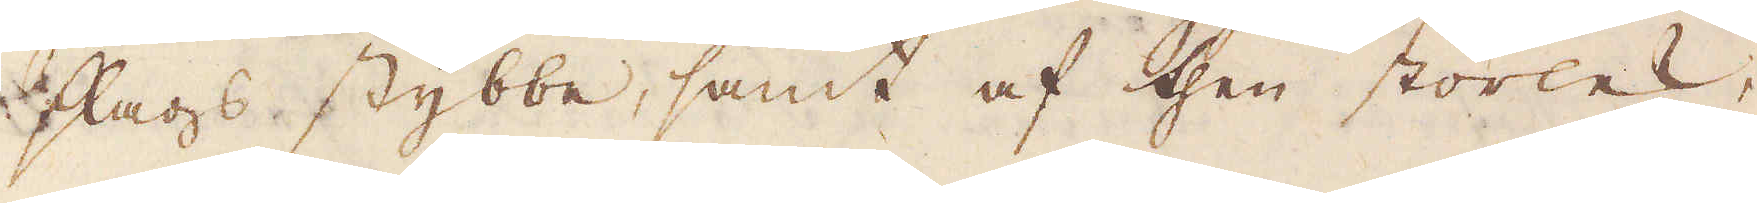slags stybbe, samt af then storlek,
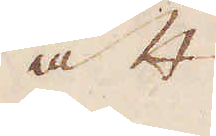att
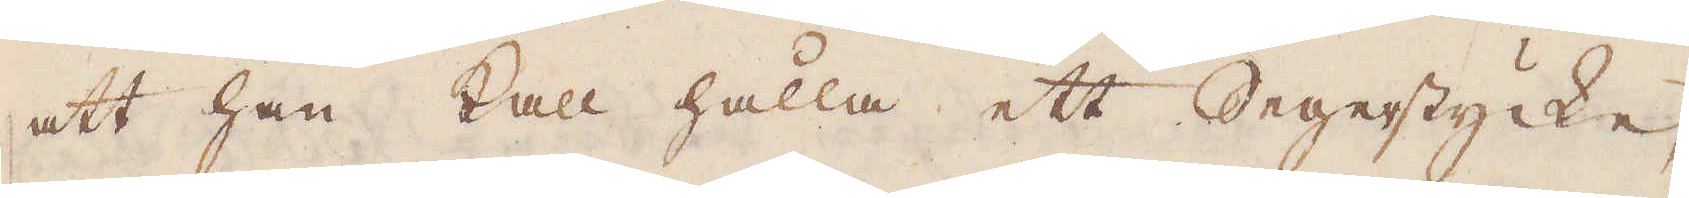att han kall hålla ett Segerstycke,
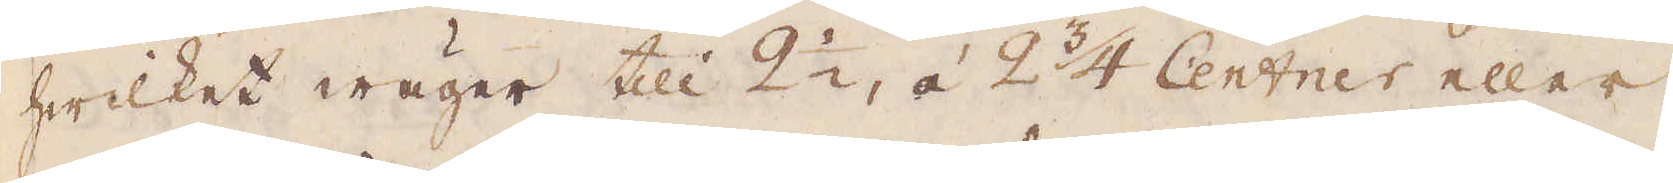hwilket wäger till 2 1/2, à 2 3/4 Centner eller
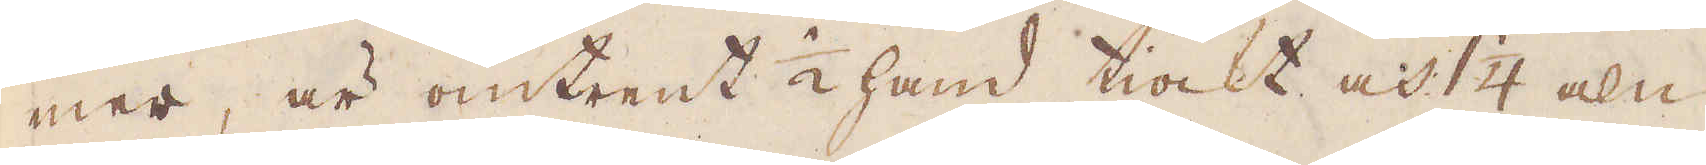mer, är omtrent 1/2 hand tiockt, och 1 1/4 aln
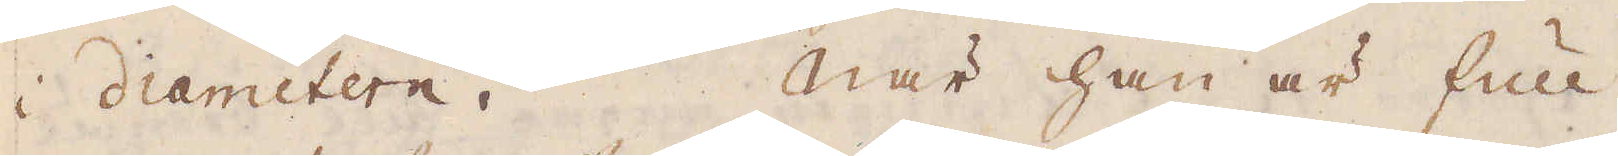i diametern. När han är full
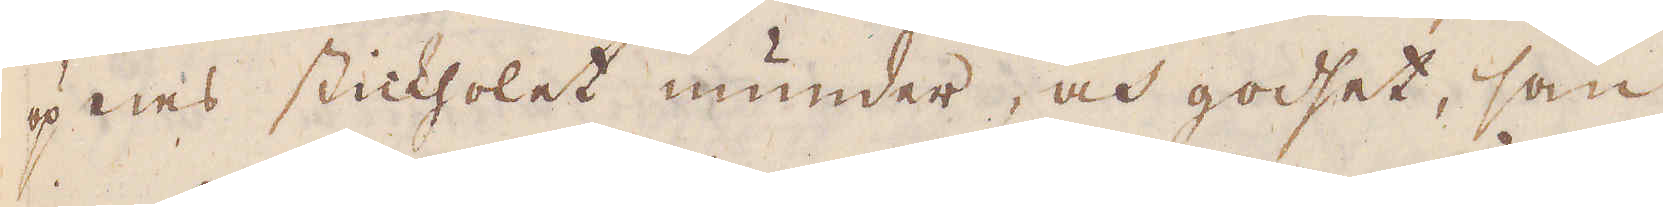öpnas stickholet inunder, och godhet, som
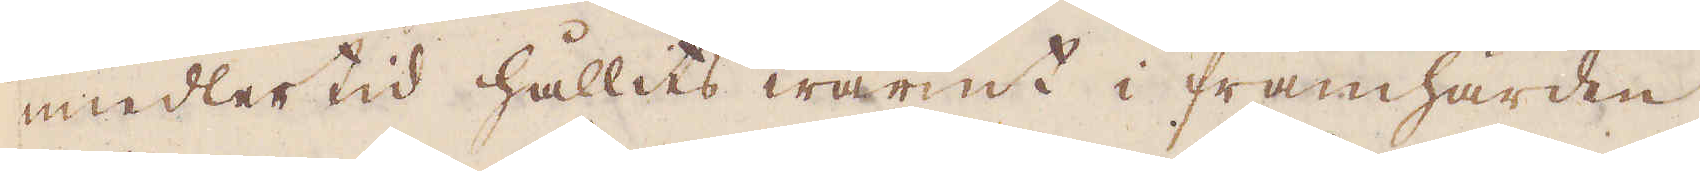imedler tid hållits warmt i framhärden
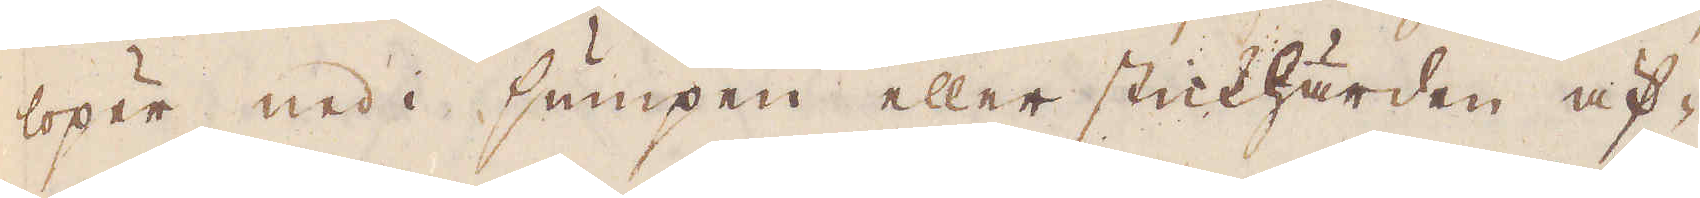löper ned i sumpen eller stickhärden äf-
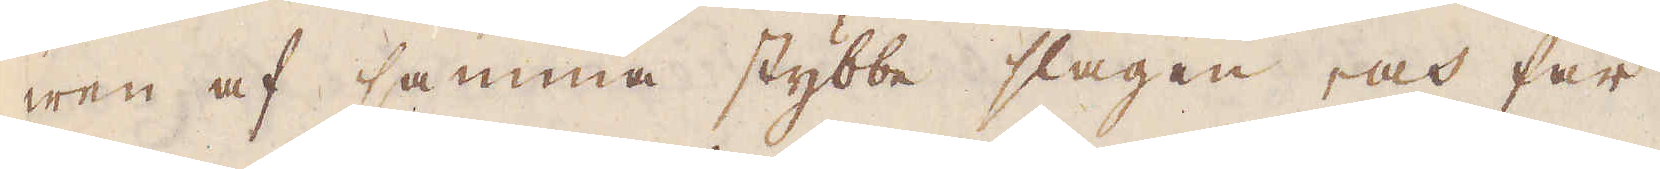wen af samma stybbe slagen, och får
